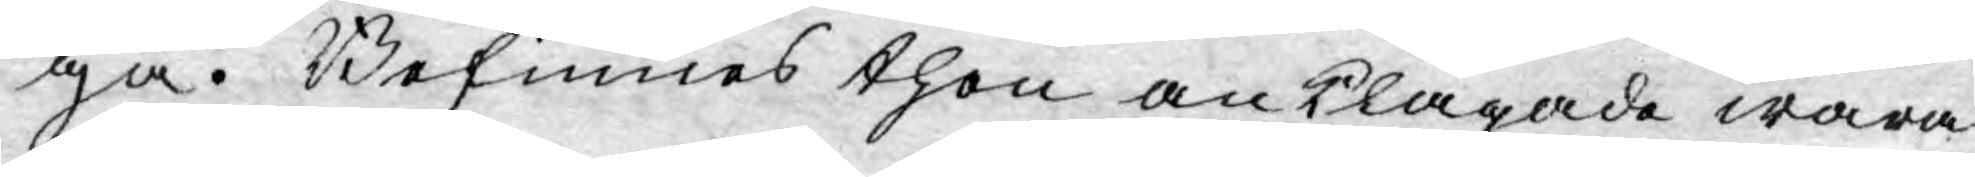ga. Befinnes then anklagade wara
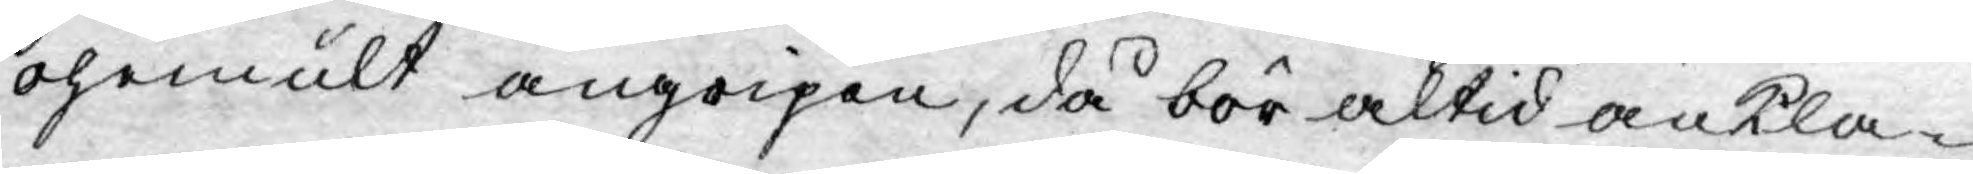ohemult angripen, då bör altid ankla¬
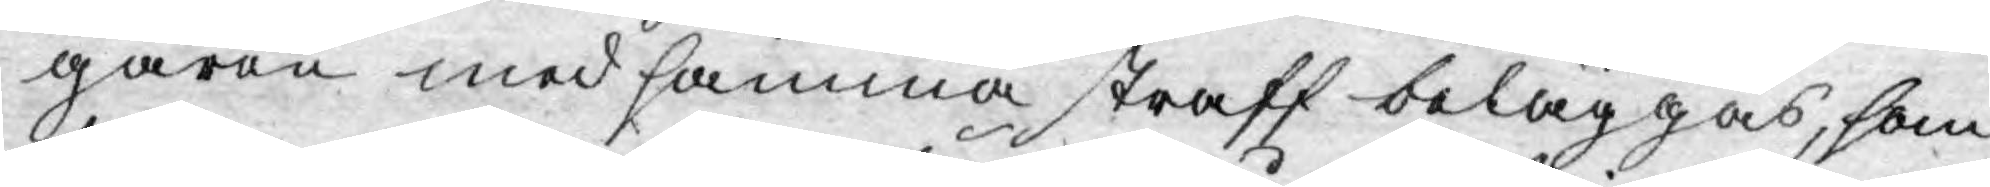garen med samma straff beläggas, som
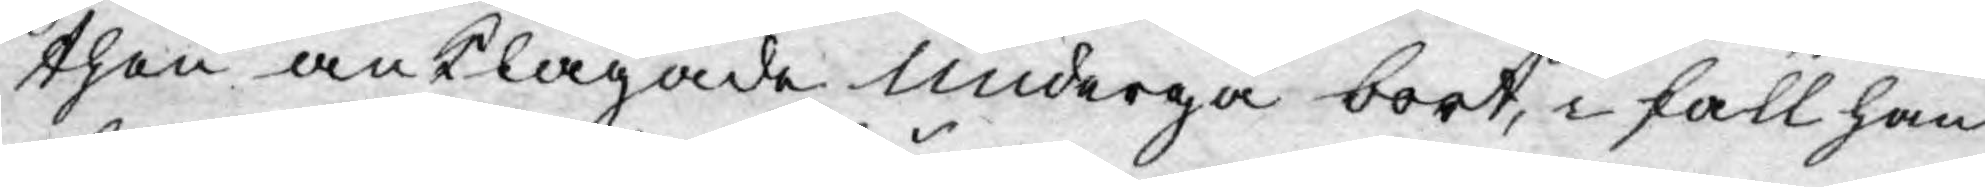then anklagade undergå bort, i fall han
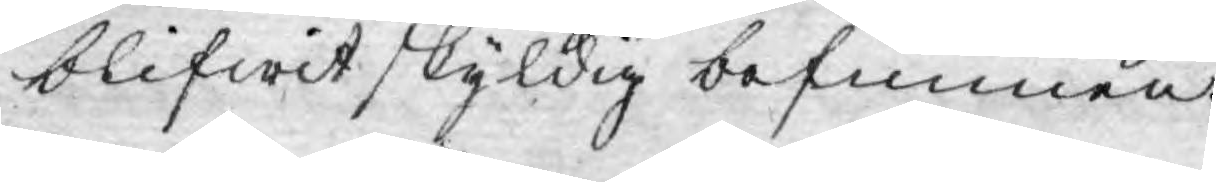blifwit skyldig befunnen.
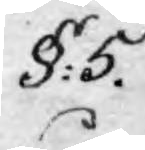§: 5.
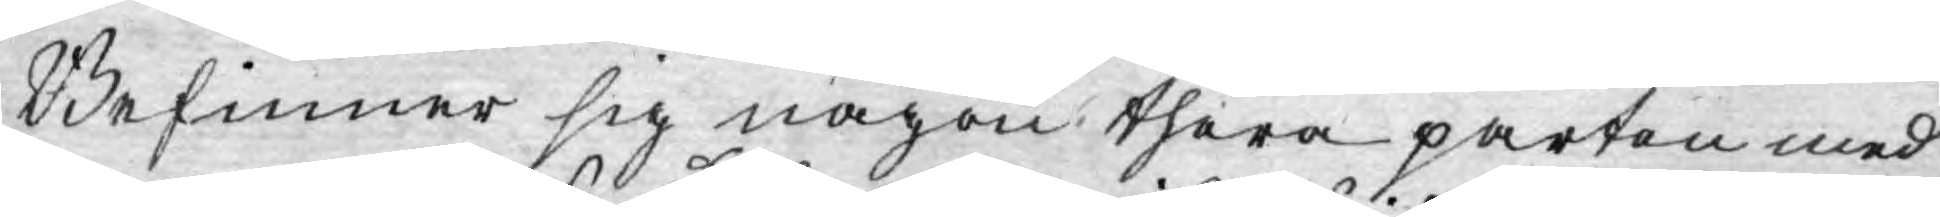Befinner sig någon thera parten med
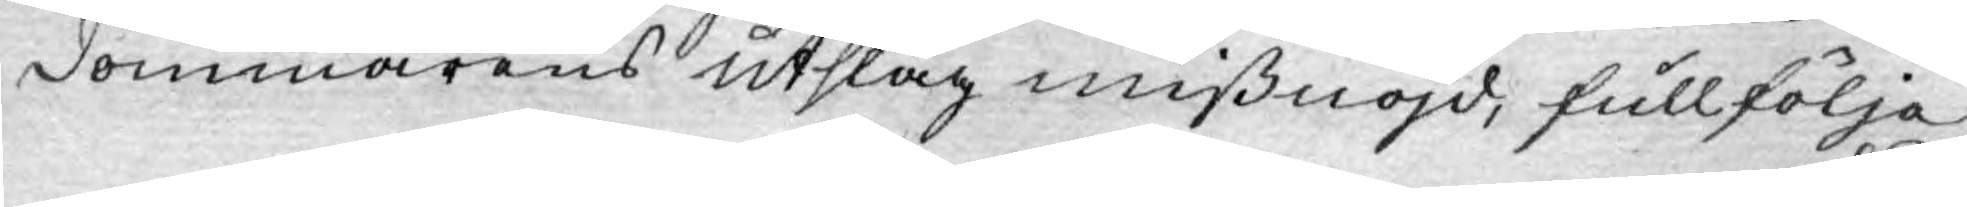dommarens utslag missnöjd, fullfölja
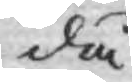då
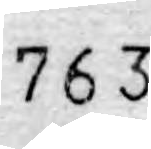763.
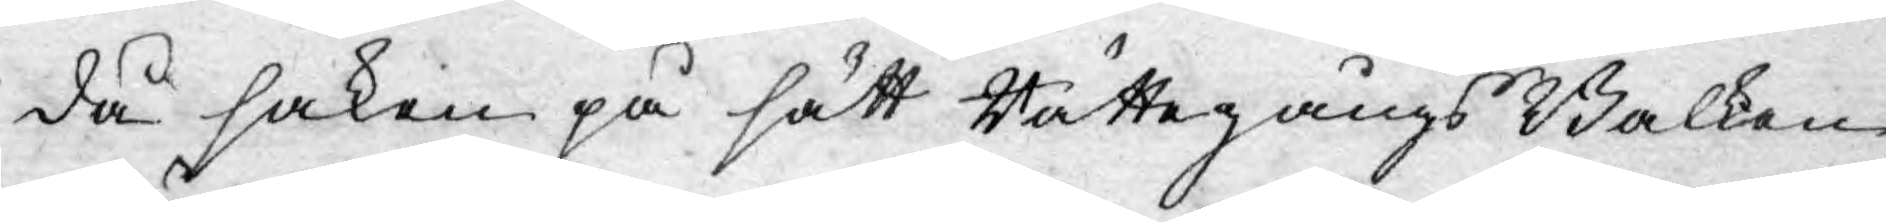då saken på sätt Rättegångs Balken
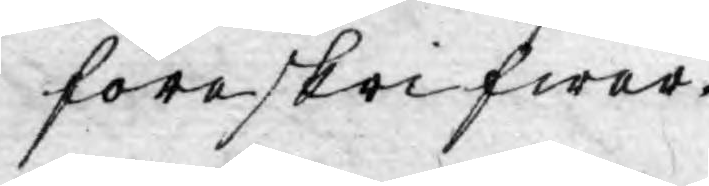föreskrifwer.
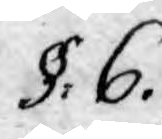§. 6.
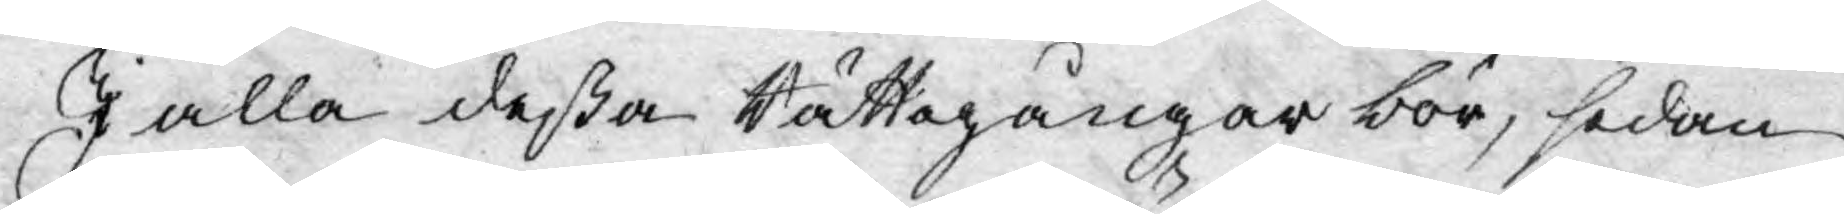I alla deßa Rättegångar bör, sedan
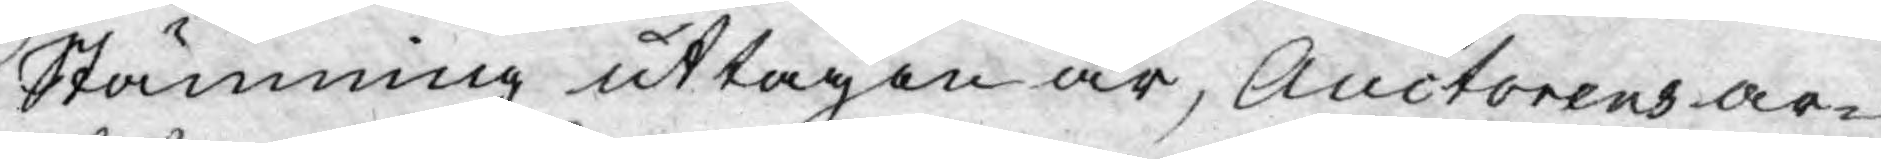Stämning uttagen är, Auctorens ar-
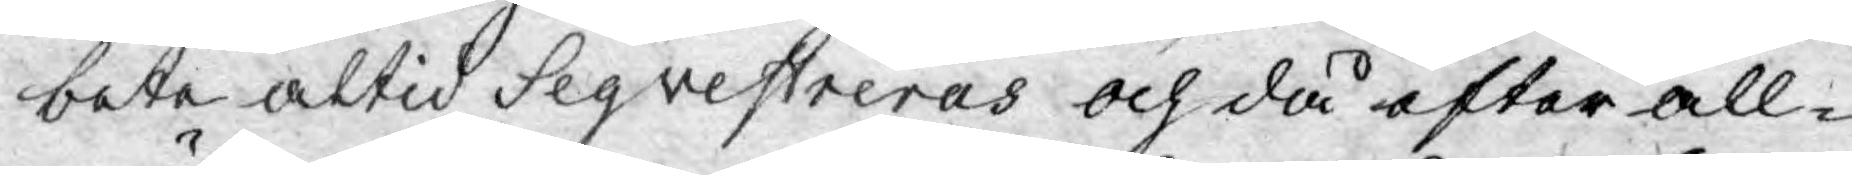bete altid Seqvestreras och då efter all-
